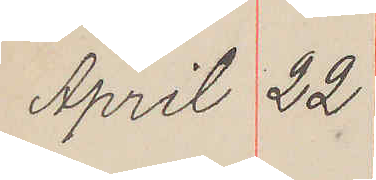April 22
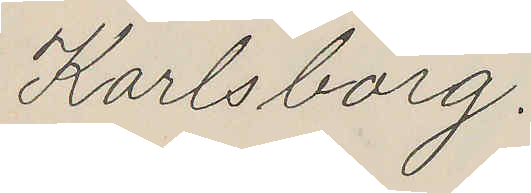Karlsborg.
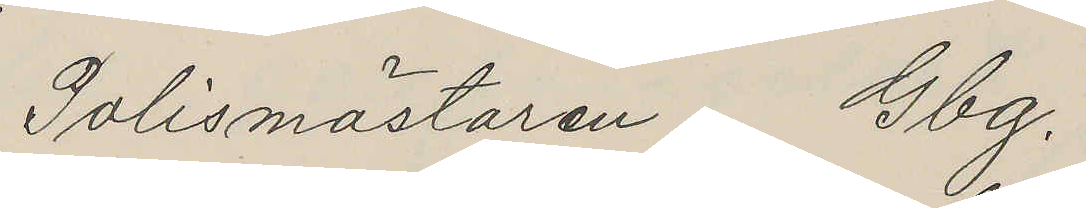Polismästaren Gbg.
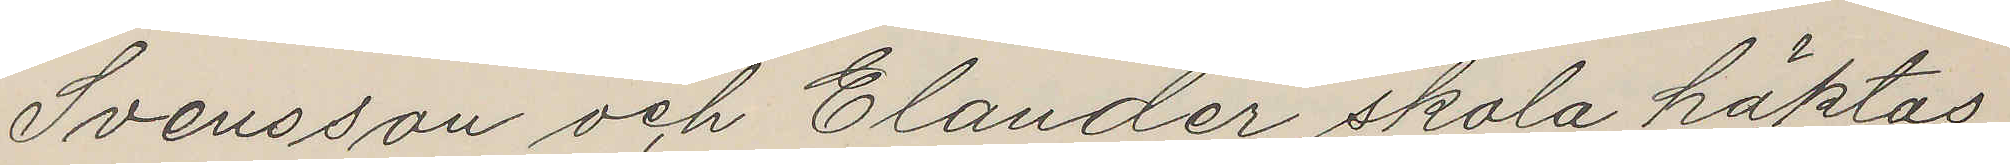Svensson och Elander skola häktas
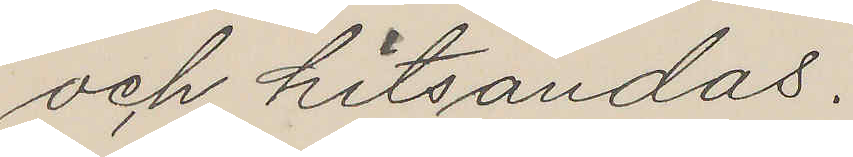och hitsändas.
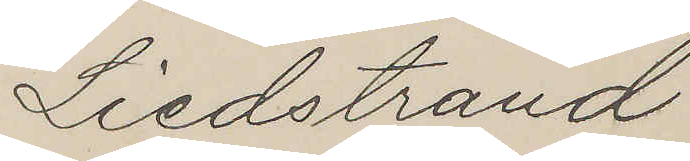Liedstrand
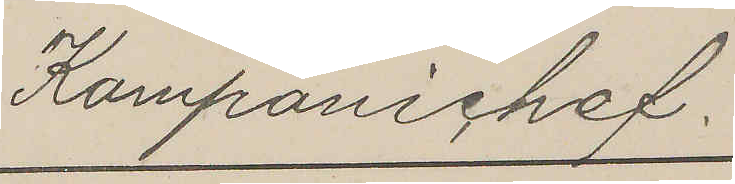Kompanichef.
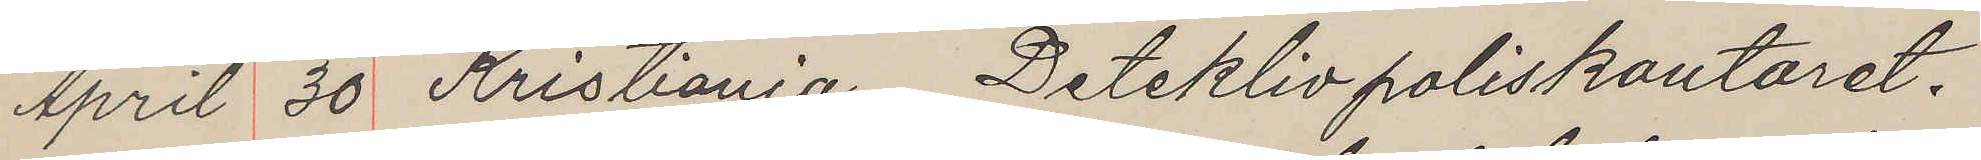April 30 Kristiania. Deteklivpoliskontoret.
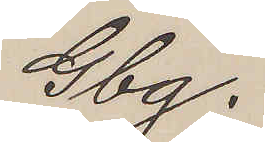Gbg.
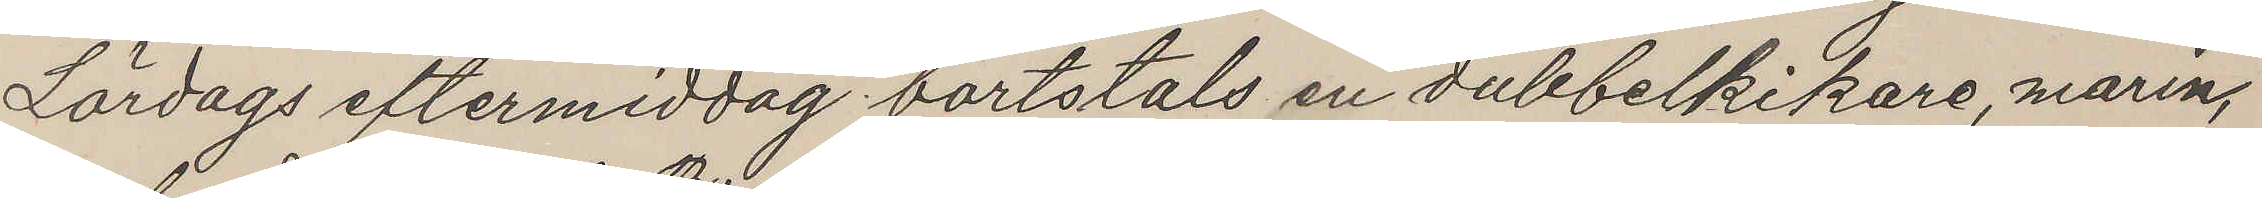Lördags eftermiddag bortstals en dubbelkikare, marin,
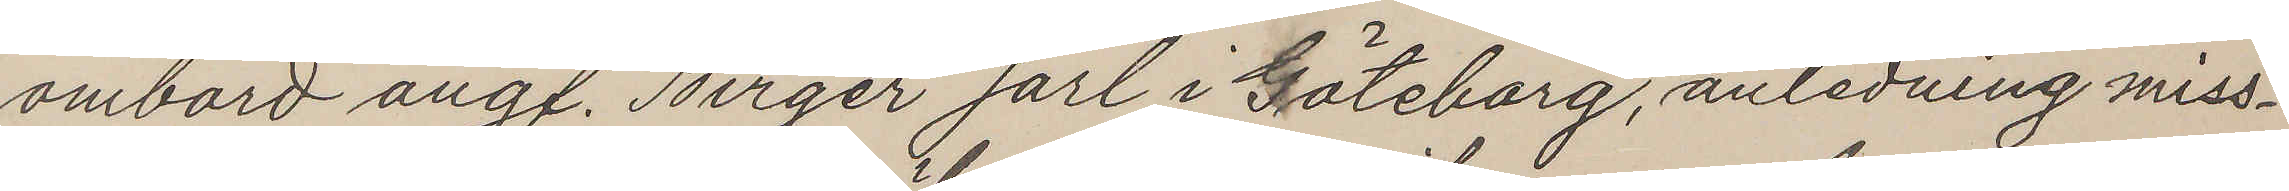ombord ångf. Birger Jarl i Göteborg, anledning miss¬
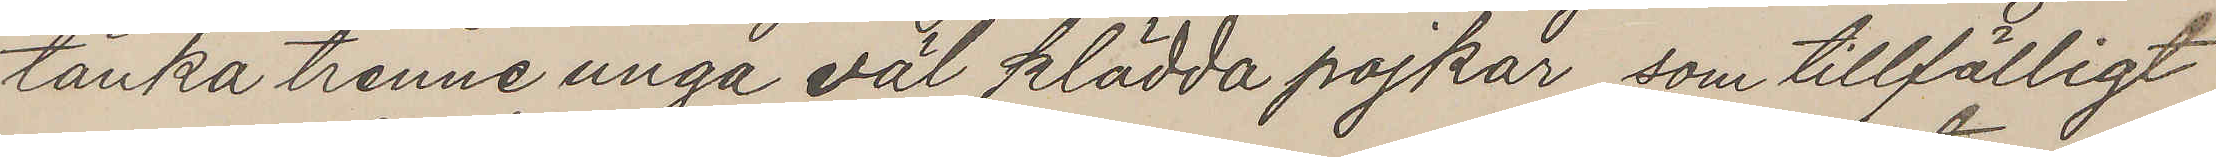tänka trenne unga väl klädda pojkar, som tillfälligt
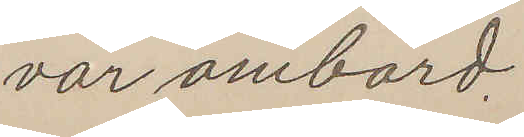var ombord.
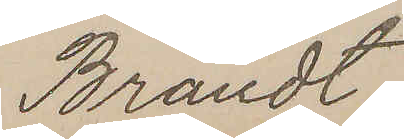Brandt
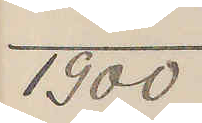1900
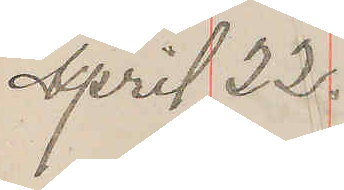April 22.
